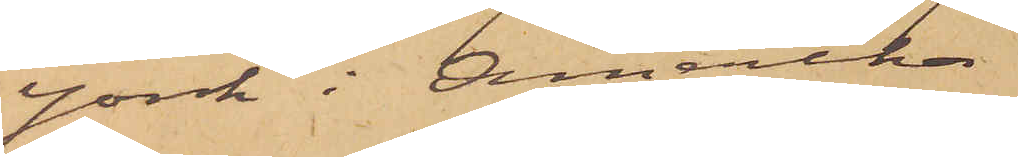York i Amerika
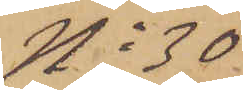No 30
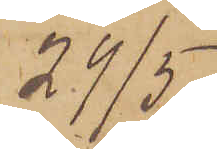29/5.
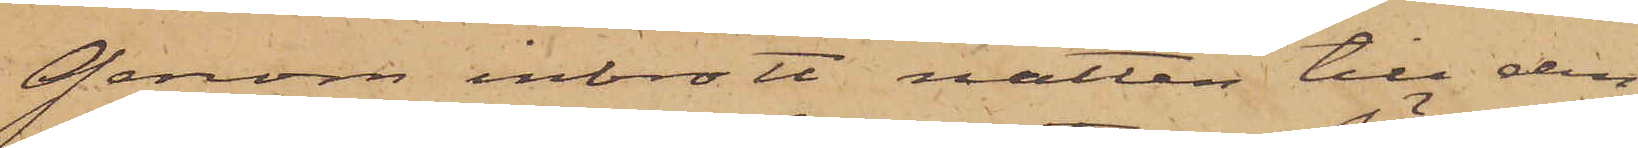Genom inbrott natten till den
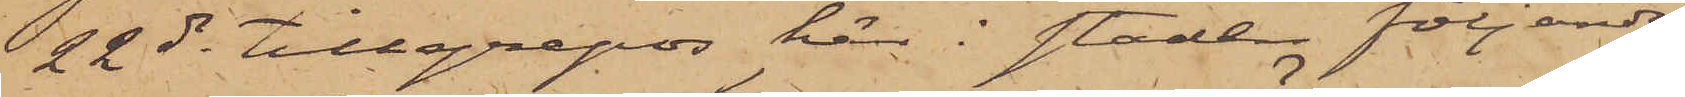22 ds tillgrepos här i staden följande
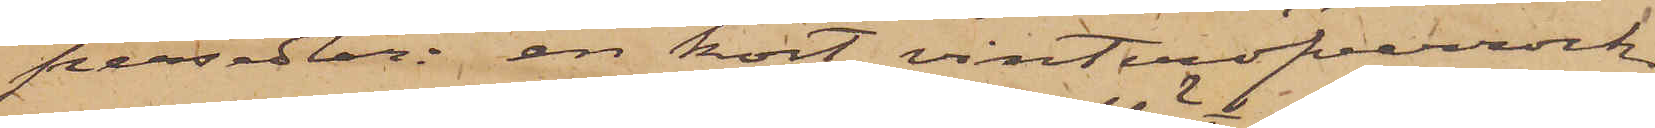persedlar: en kort vinteröfverrock
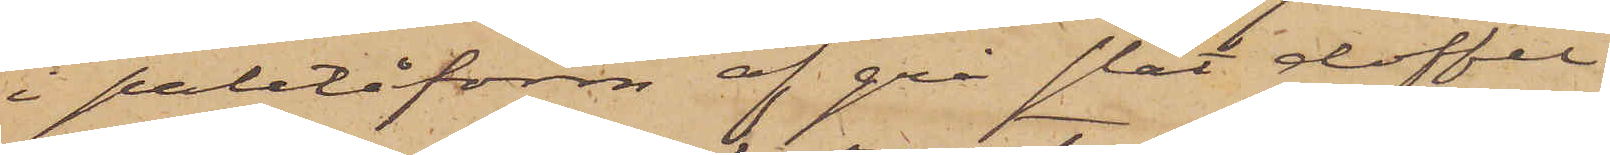i paletåform af grå slät doffel
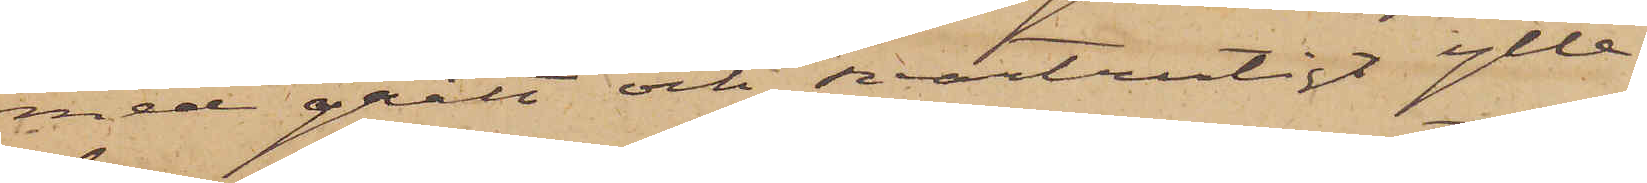med grått och svartrutigt ylle¬
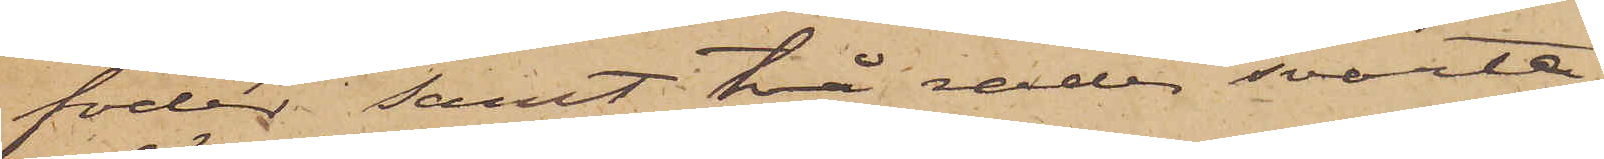foder; samt två rader svarta,
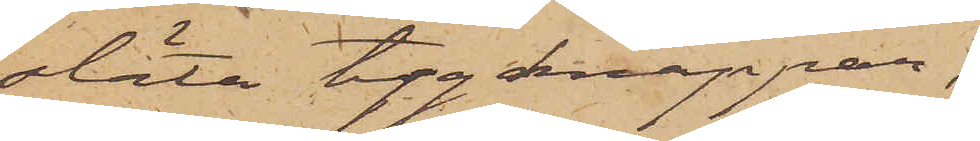släta tygknappar;
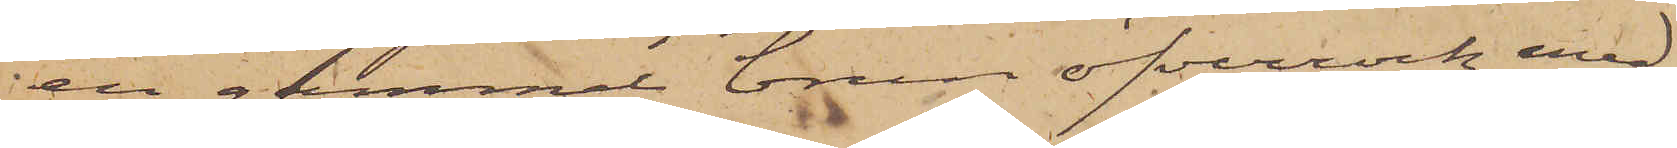en gammal brun öfverrock med
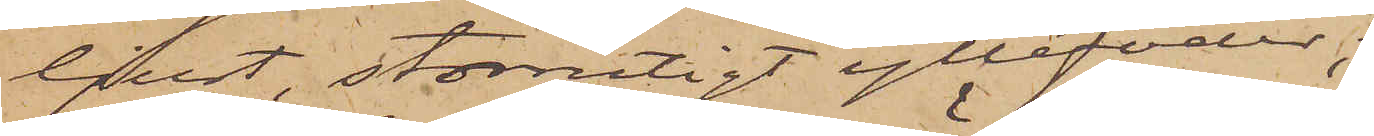ljust, storrutigt yllefoder,
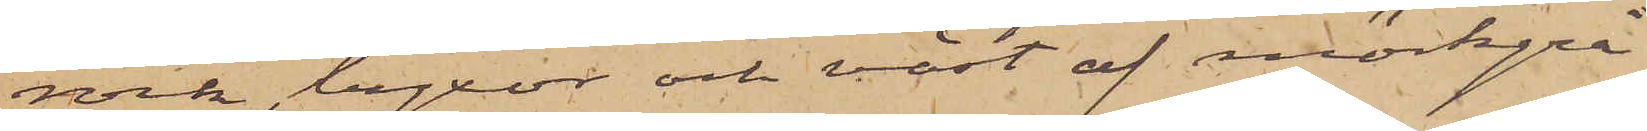rock, byxor och väst af mörkgrå
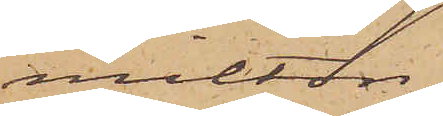milton;
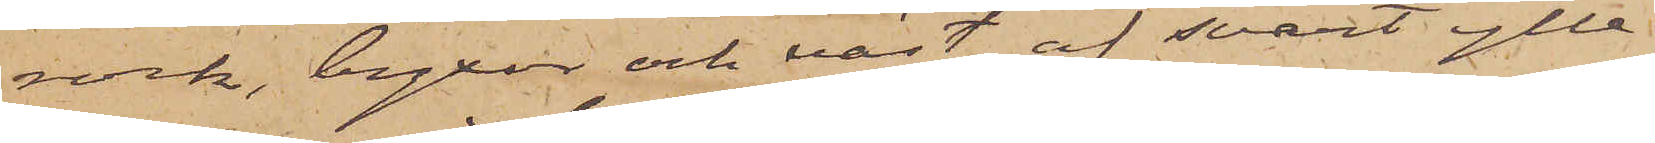rock, byxor och väst af svart ylle¬
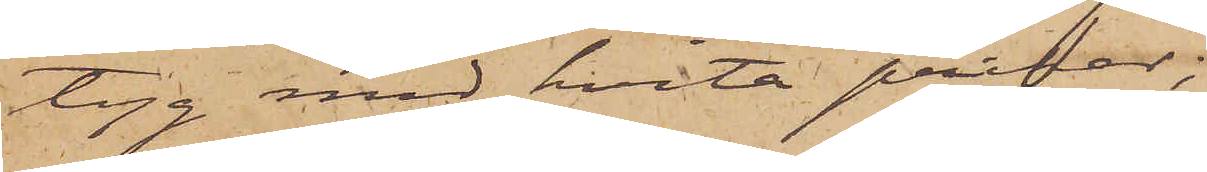tyg med hvita prickar;
